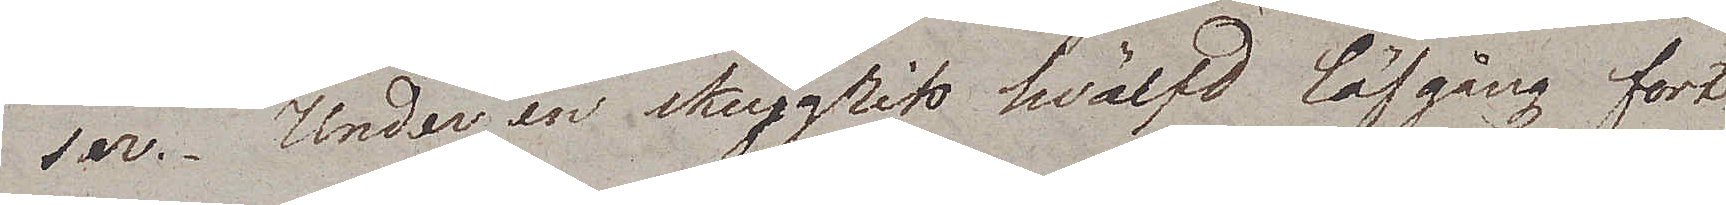ser. Under en skuggrik hvälfd löfgång fort¬
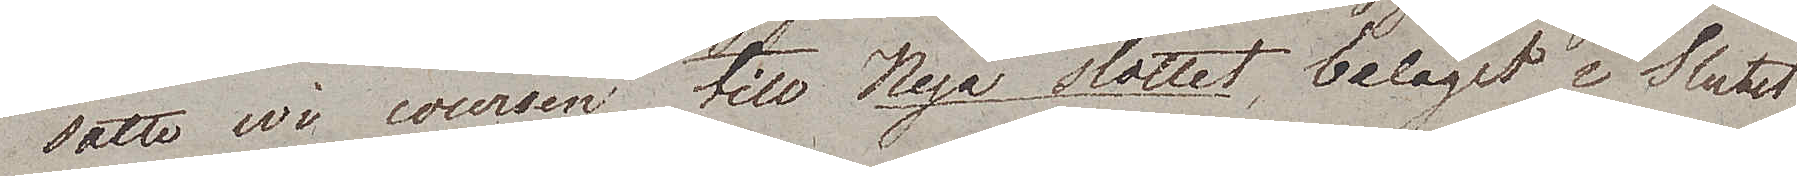satte wi coursen till Nya slottet beläget i Slutet
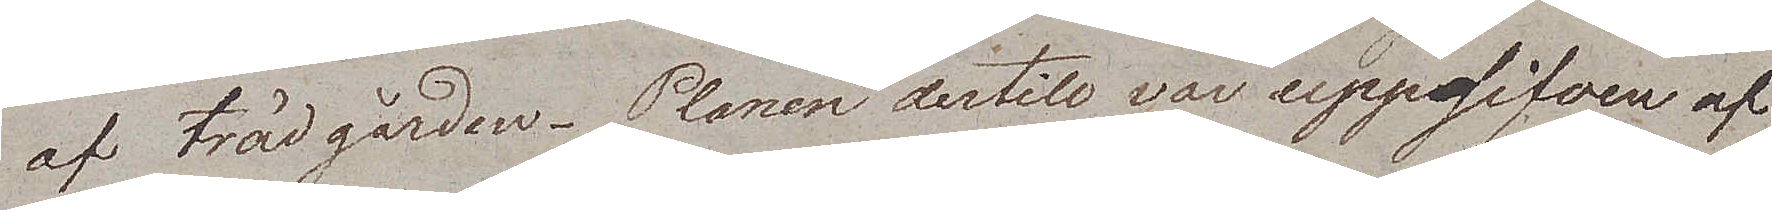af trädgården. Planen dertill var uppgifven af
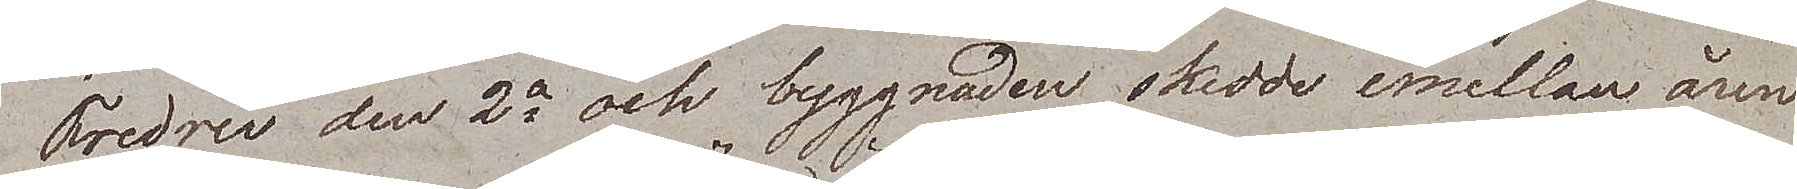Fredric den 2e och byggnaden skedde emellan åren
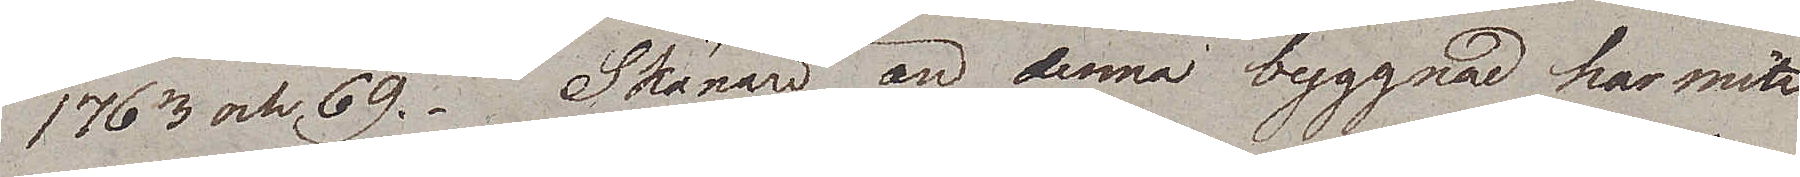1763 och 69. Skönare än denna byggnad har mitt
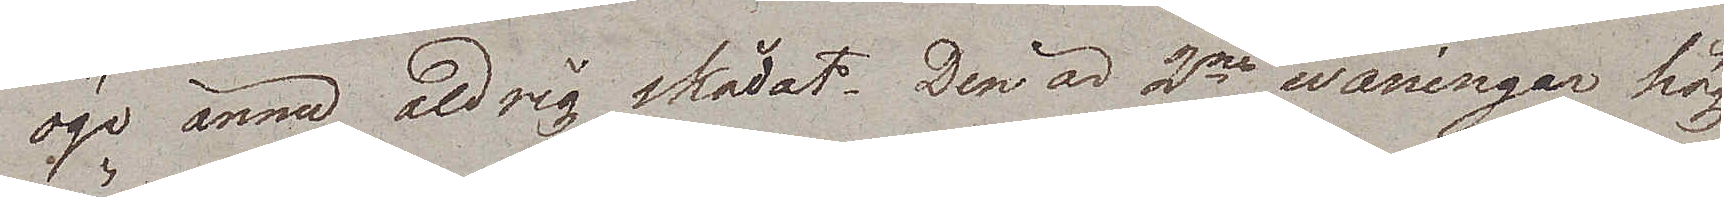öga ännu aldrig skådat. Den är 2ne wåningar hög.
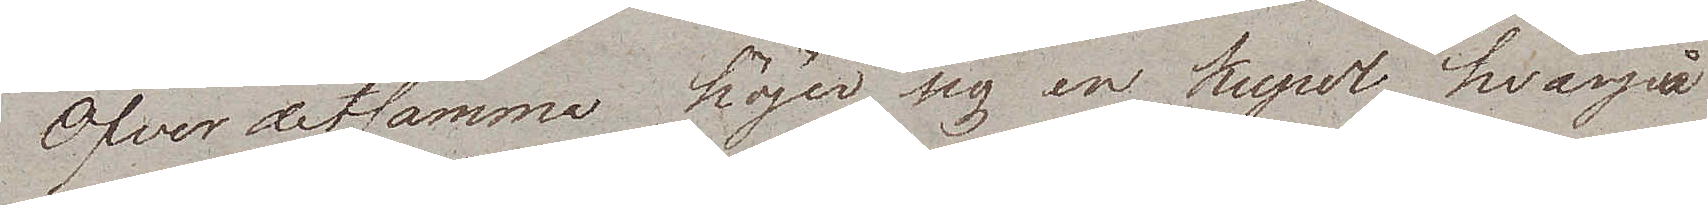Öfver detsamma höjer sig en kupol hvarpå
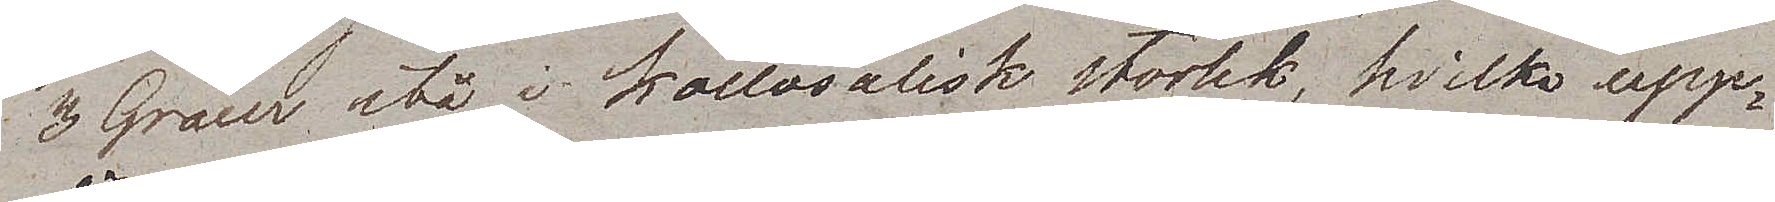3 Gracer stå i Kollosalisk storlek, hvilka upp¬
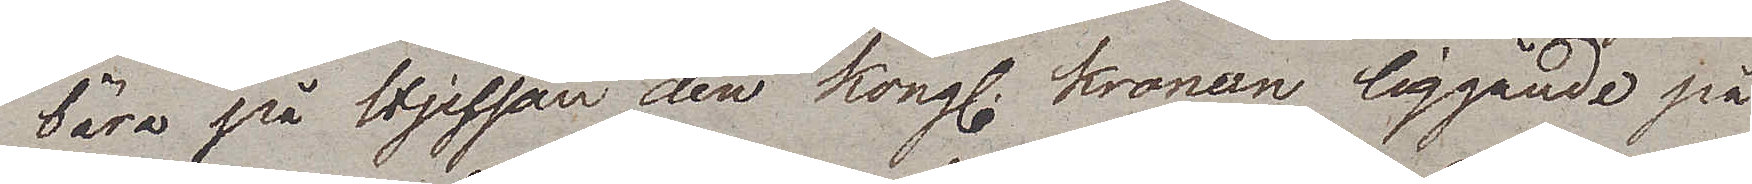bära på Hjessan den kong. kronan liggande på
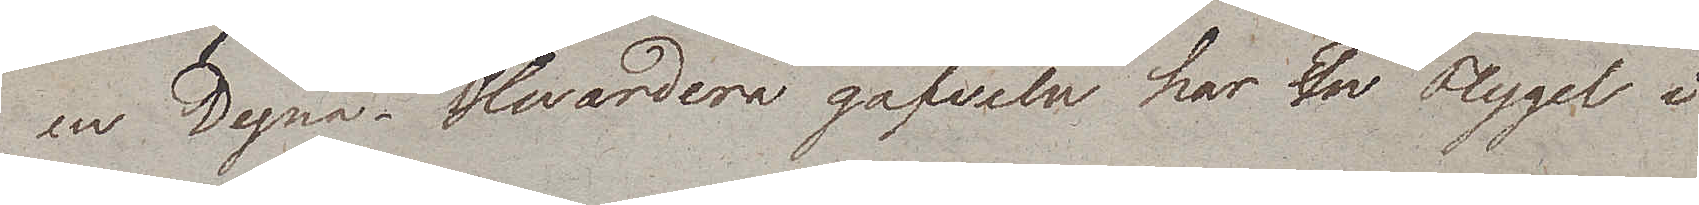en Dyna. Hvardera gafveln har en Flygel i
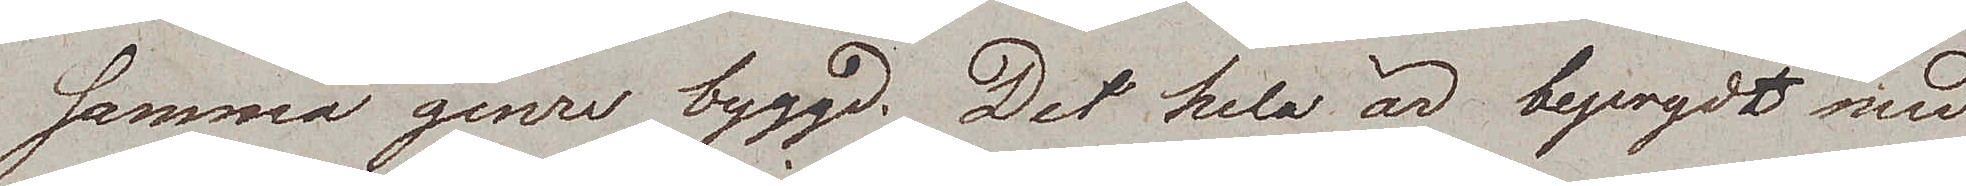samma genre byggd. Det hela är beprydt med
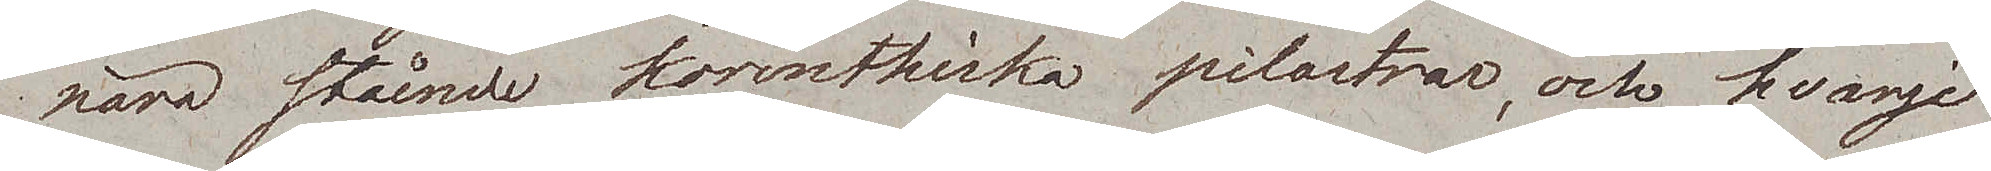nära stående korinthiska pilastrar, och hvarje
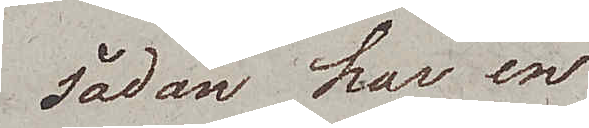sådan har en
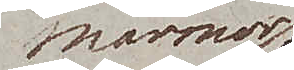marmor¬
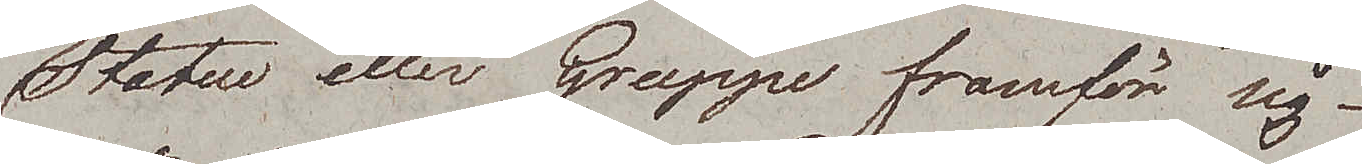Statue eller Gruppe framför sig.
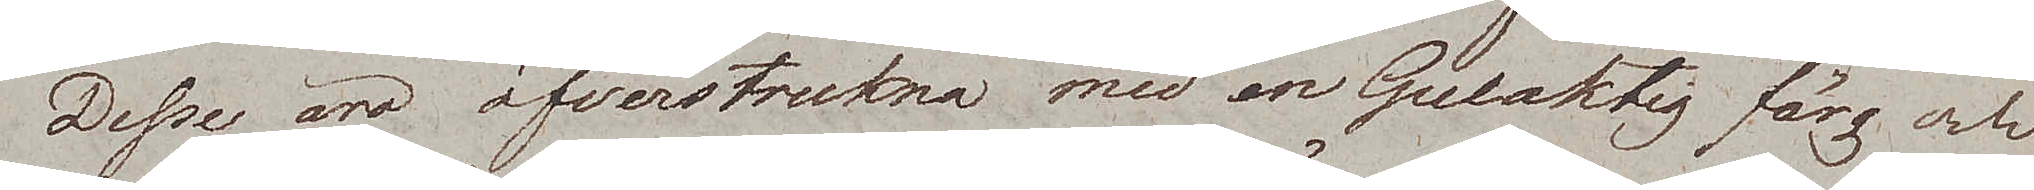Desse äro öfverstrukna med en Gulaktig färg och
